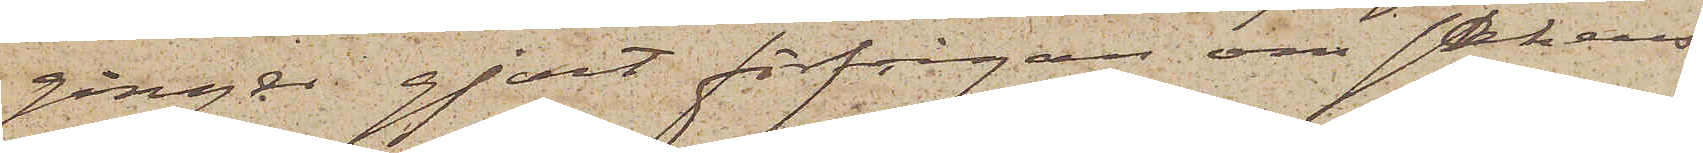gånger gjort förfrågan om sakens
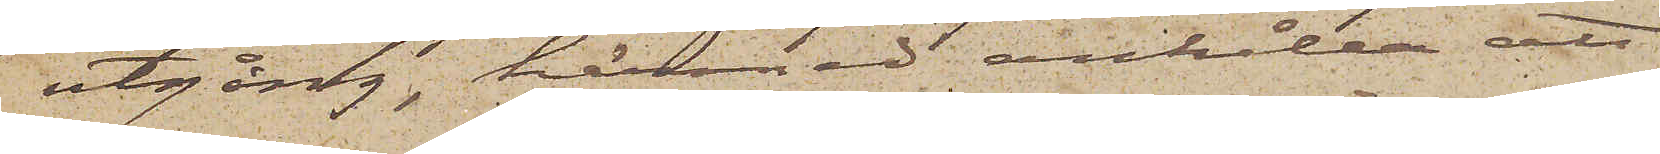utgång, härmed anhålla att
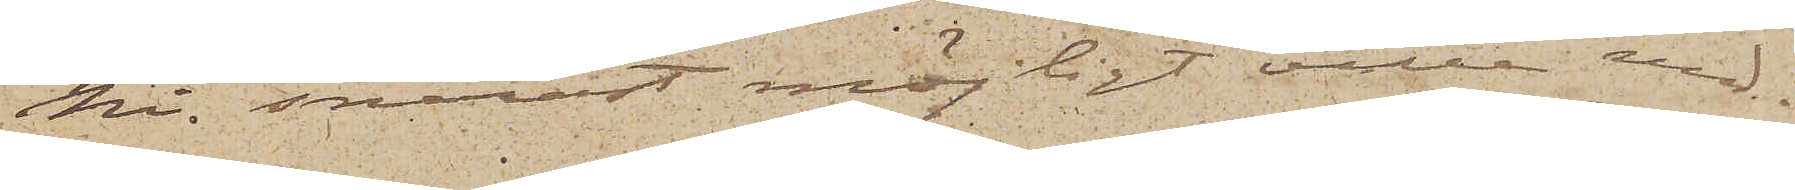Ni snarast möjligt ville med¬
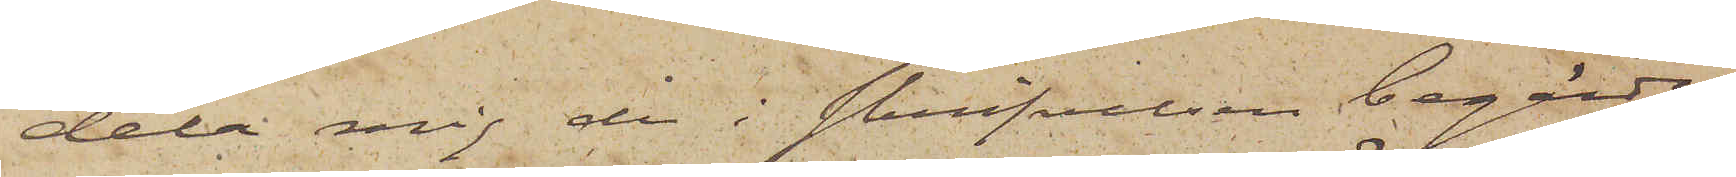dela mig de i skrifvelsen begärda
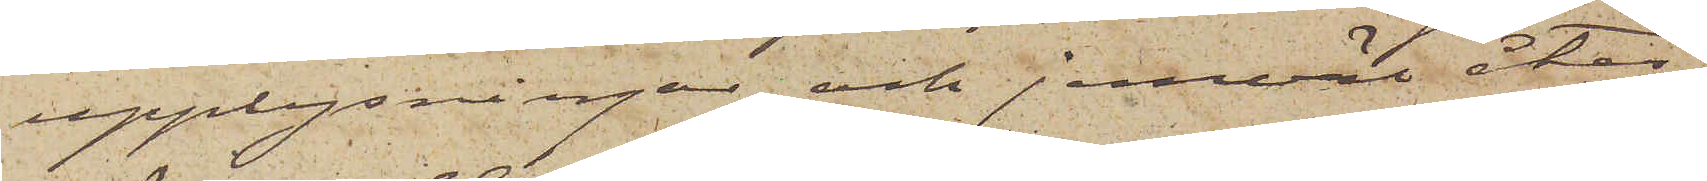upplysningar och jemväl åter¬
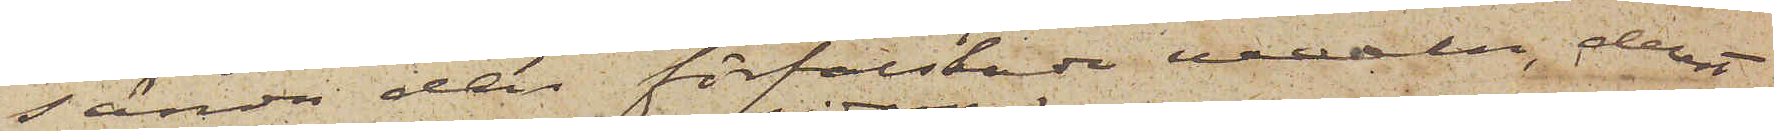sända den förfalskade vexeln, derest
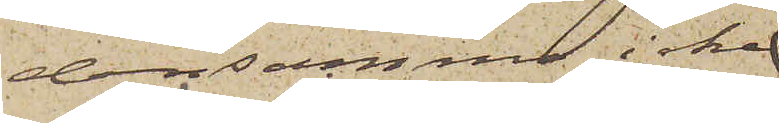densamma icke
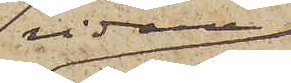vidare
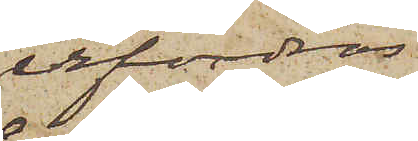erfordras
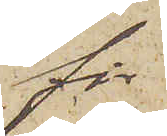för
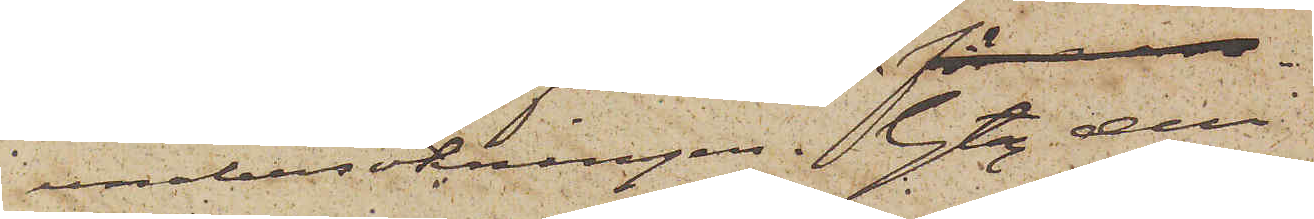undersökningen. Gtbg den
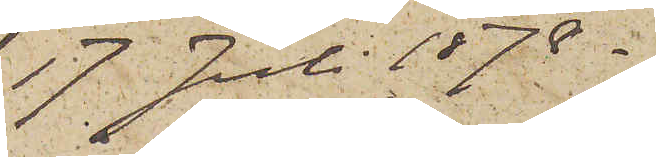17 Juli 1878.
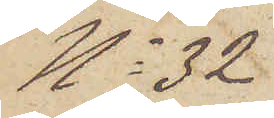No 32
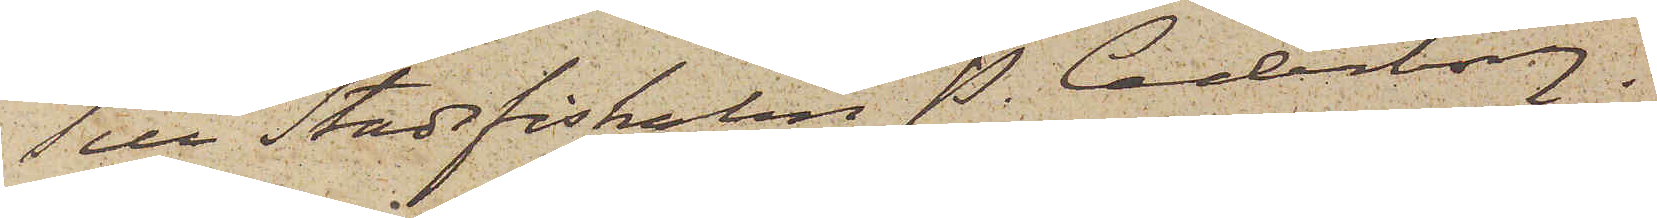Till Stadsfiskalen P. Cederborg
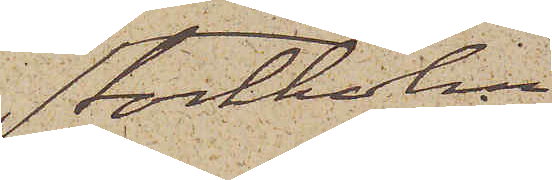Stockholm
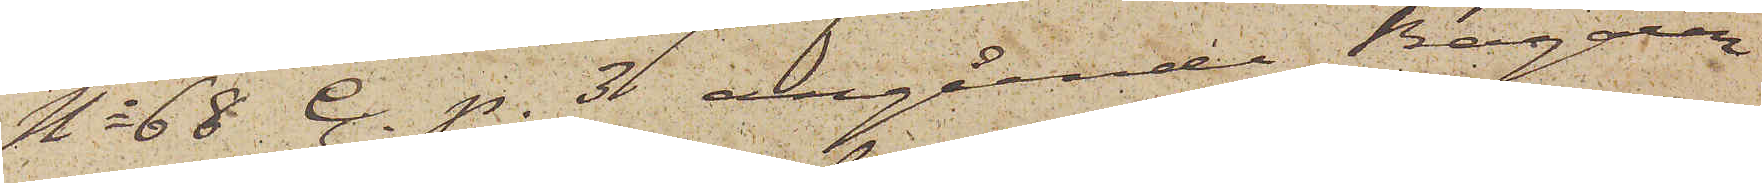No 68 C. p. 3 angående Bagaren
